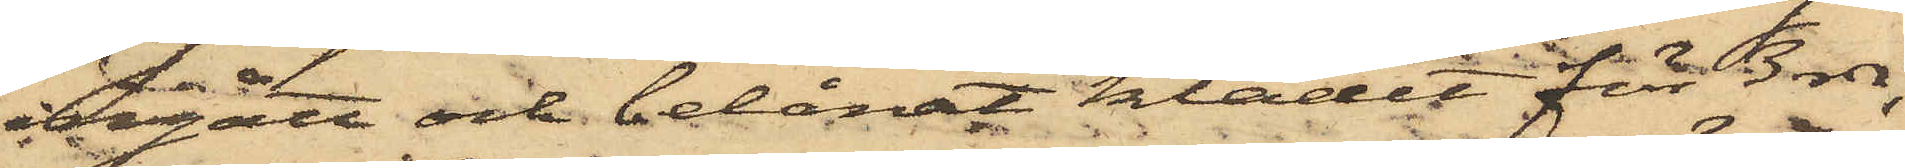ingått och belånat klädet för 3 rdr,
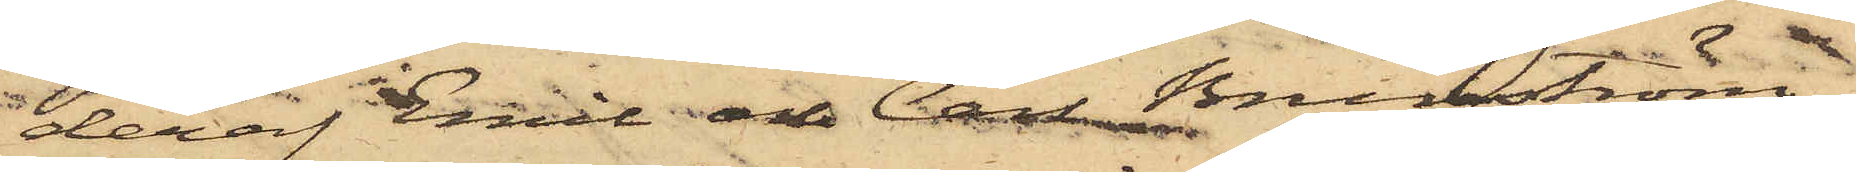deraf Emil och Carl Brunström
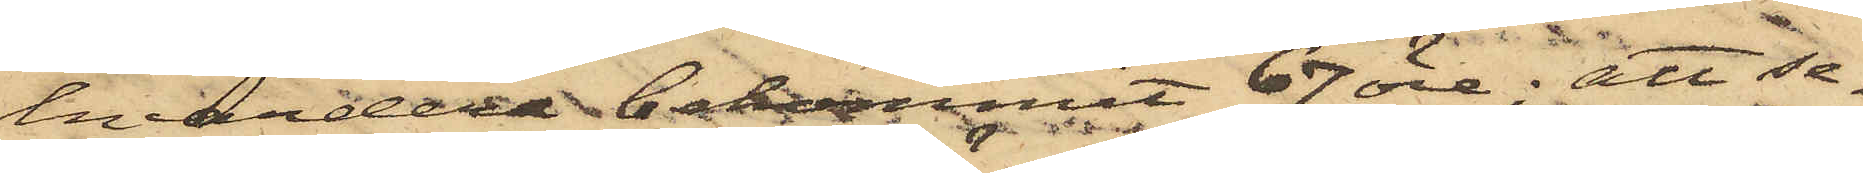hvardera bekommit 67 öre; att se¬
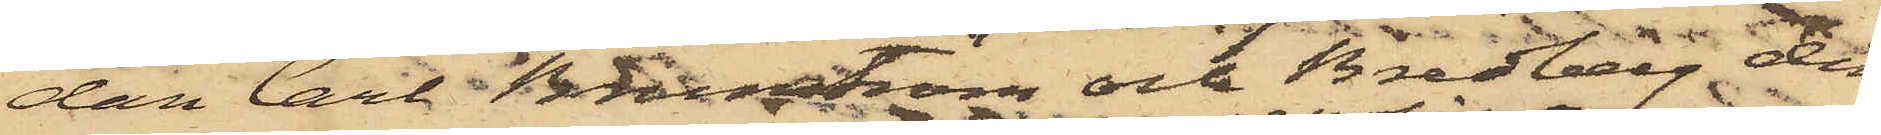dan Carl Brunström och Bredberg den
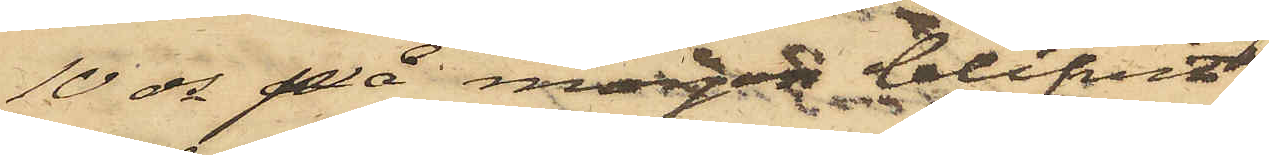10 ds på morgot blifvit
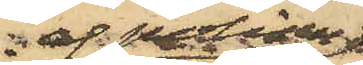af polisen
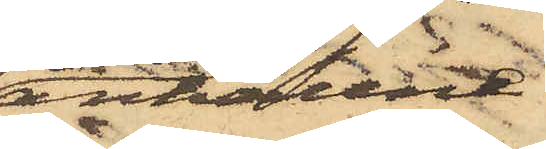anhållne
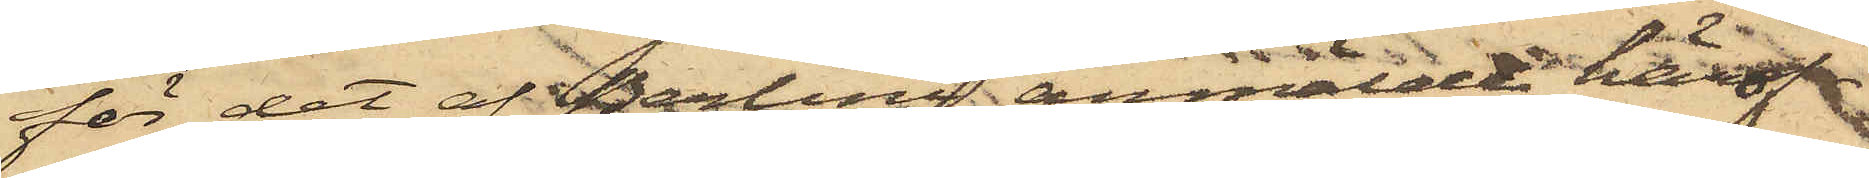för det af Berlini anmälda, härof¬
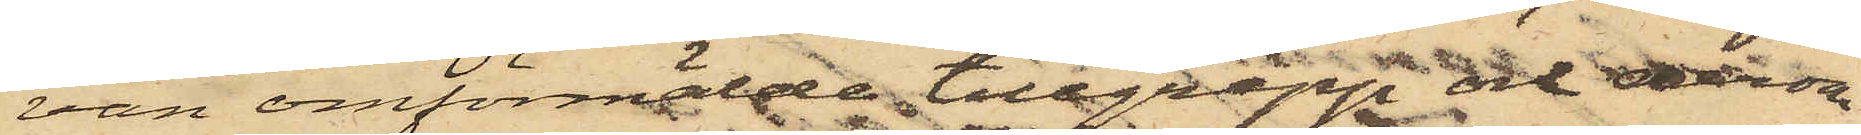van omförmälde tillgrepp och derom
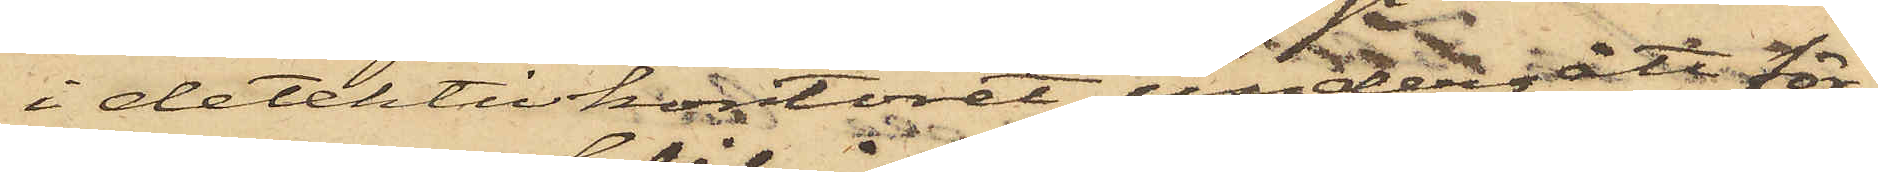i detektivkontoret undergått för¬
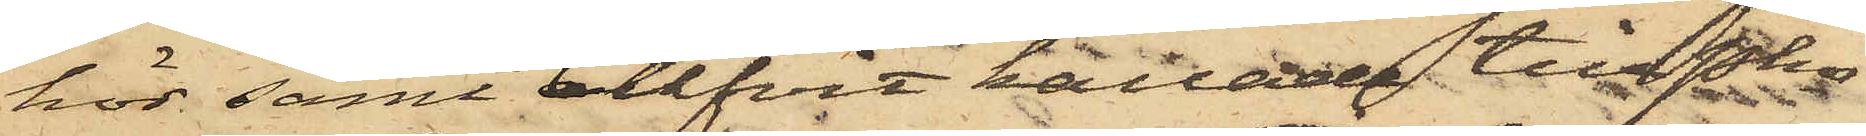hör samt blifvit kallade till Pkn
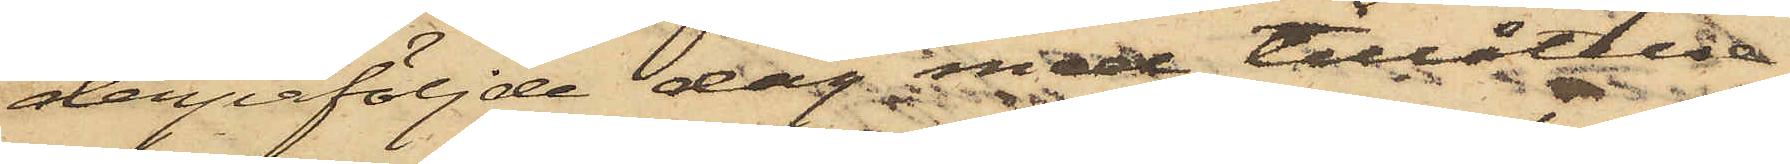derpåföljde dag med tillåtelse
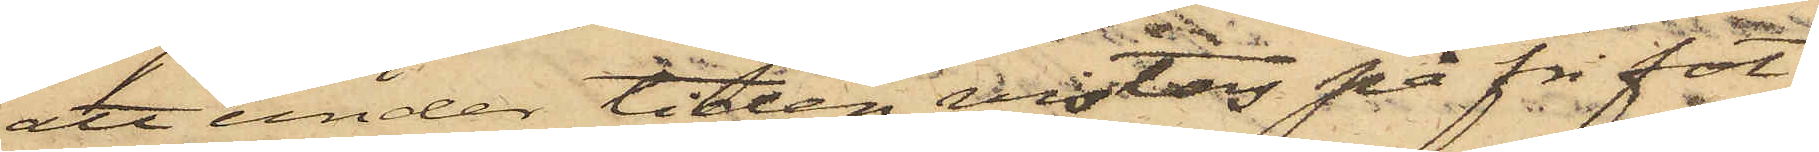att under tiden vistas på fri fot,
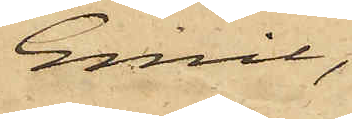Emil,
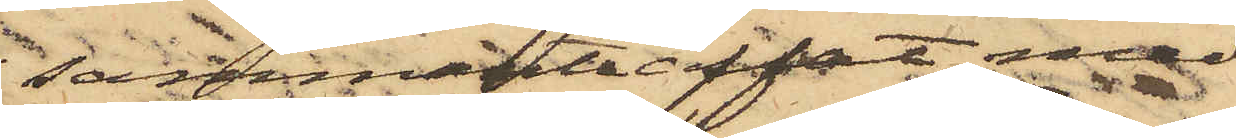sammanträffat med
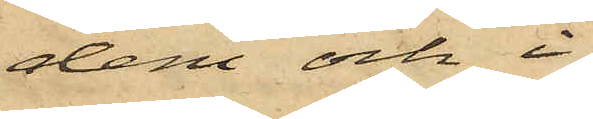dem och i
